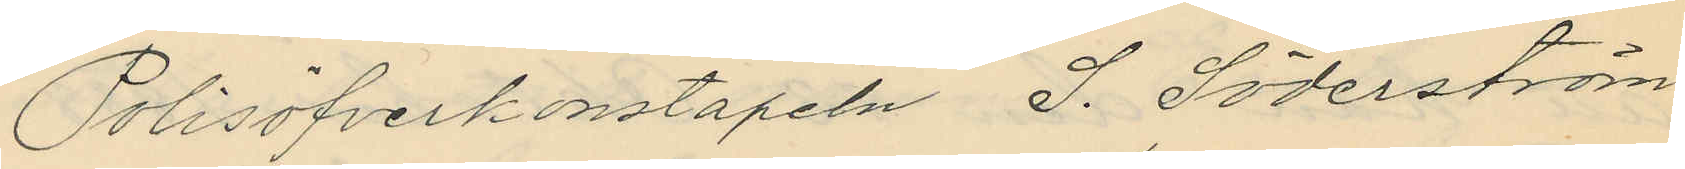Polisöfverkonstapeln S. Söderström
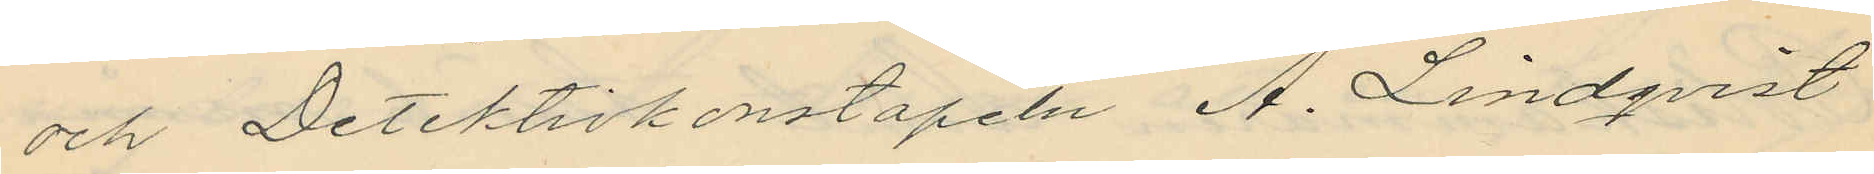och Detektivkonstapeln A. Lindqvist
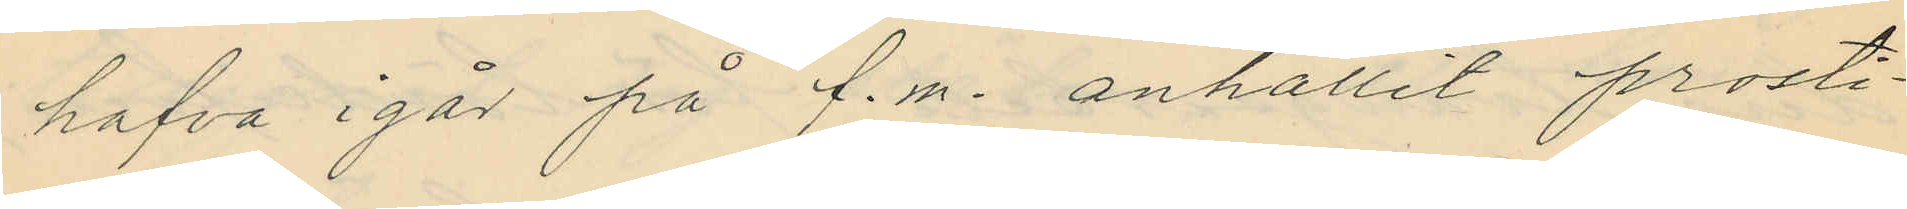hafva i går på f.m. anhållit prosti¬
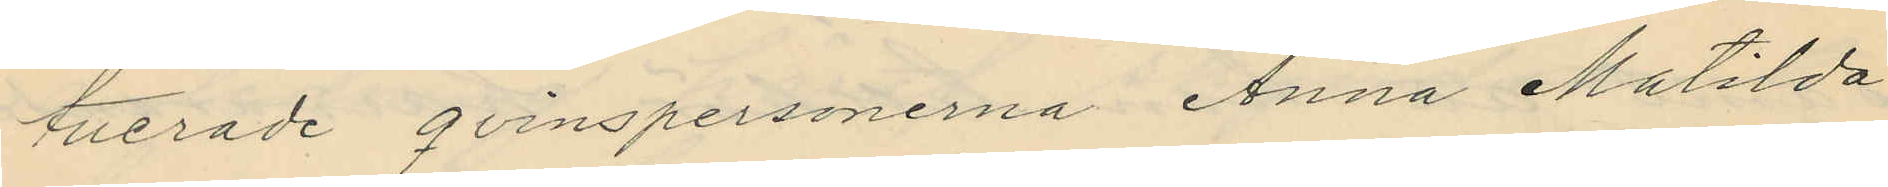tverade qvinspersonerna Anna Matilda
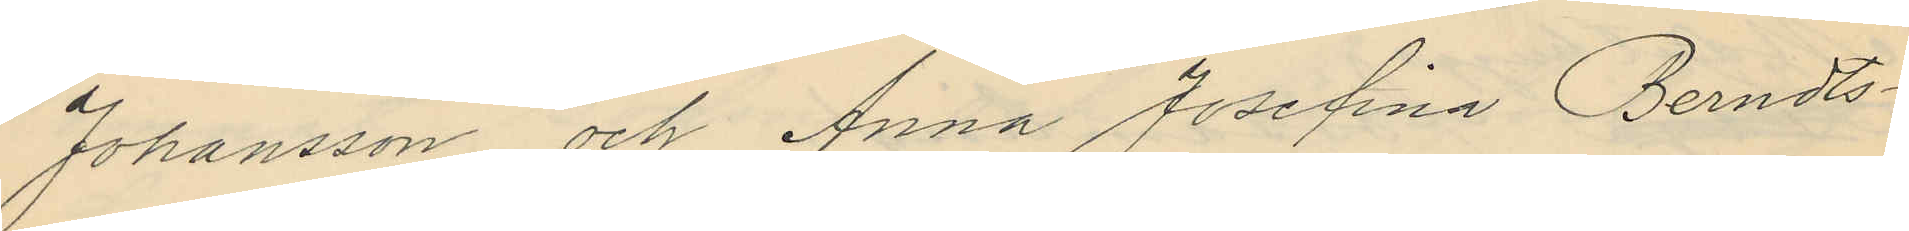Johansson och Anna Josefina Berndts¬
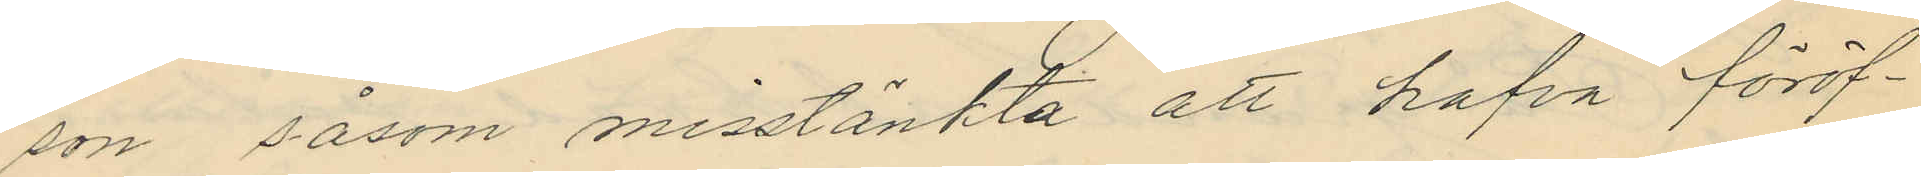son såsom misstänkta att hafva föröf¬
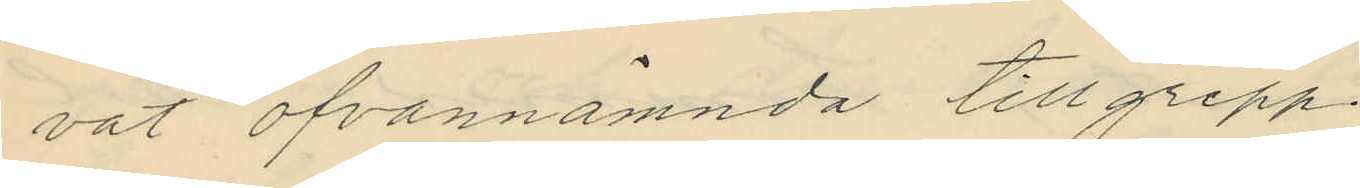vat ofvannämnda tillgrepp.
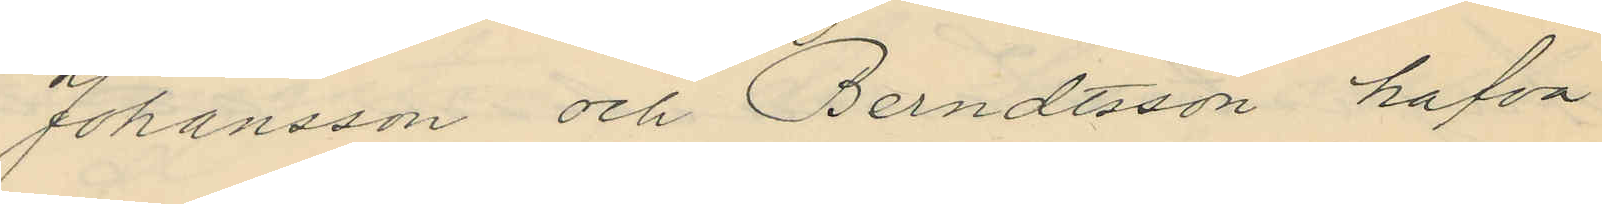Johansson och Berndtsson hafva
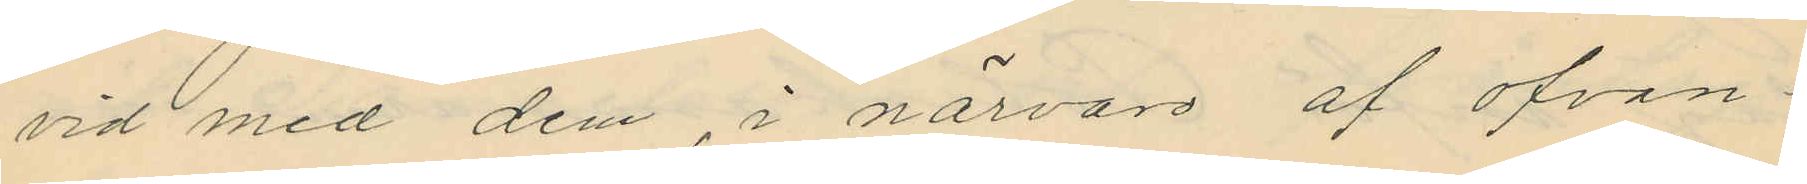vid med dem, i närvaro af ofvan¬
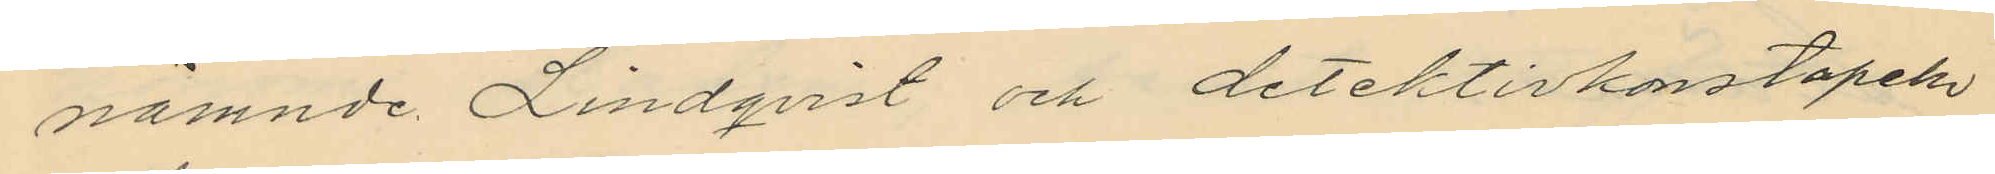nämnde Lindqvist och detektivkonstapeln
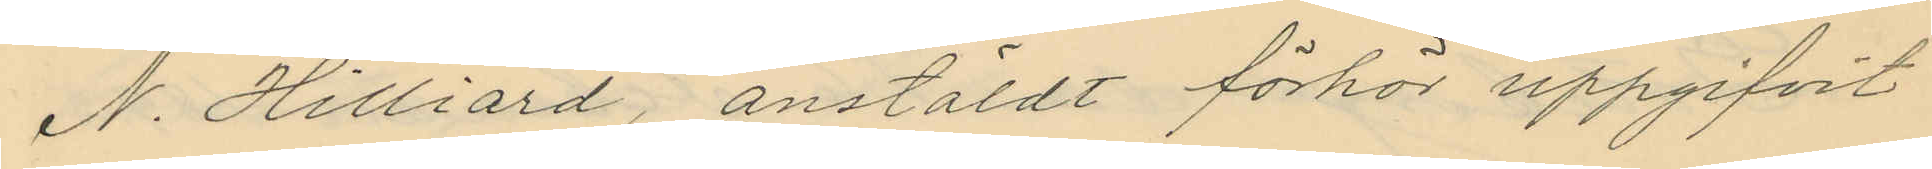N. Hilliard, anstäldt förhör uppgifvit
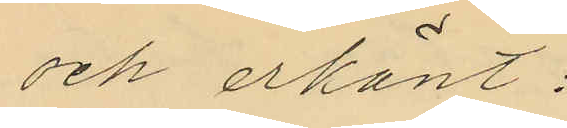och erkänt:
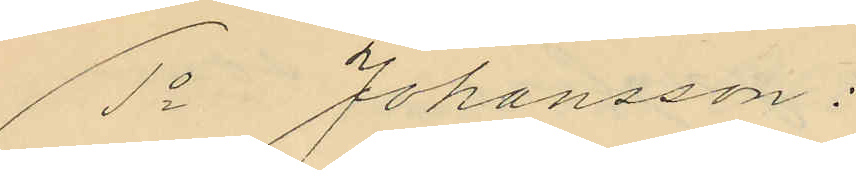1o Johansson:
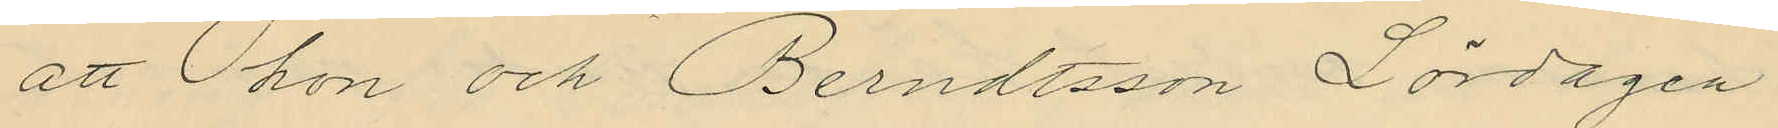att hon och Berndtsson Lördagen
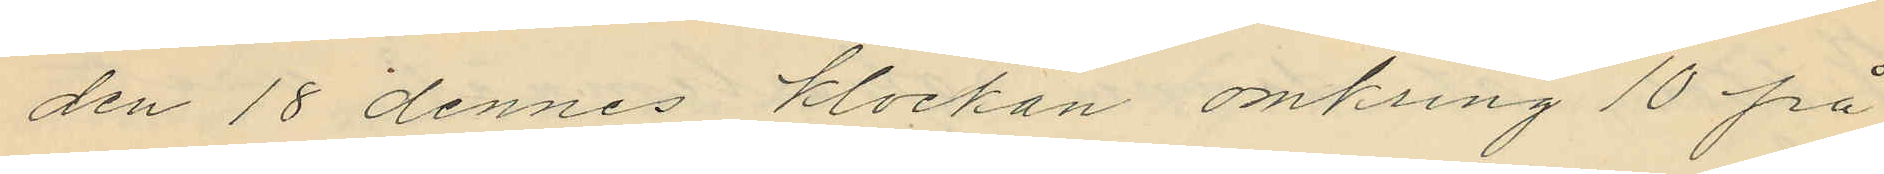den 18 dennes klockan omkring 10 på
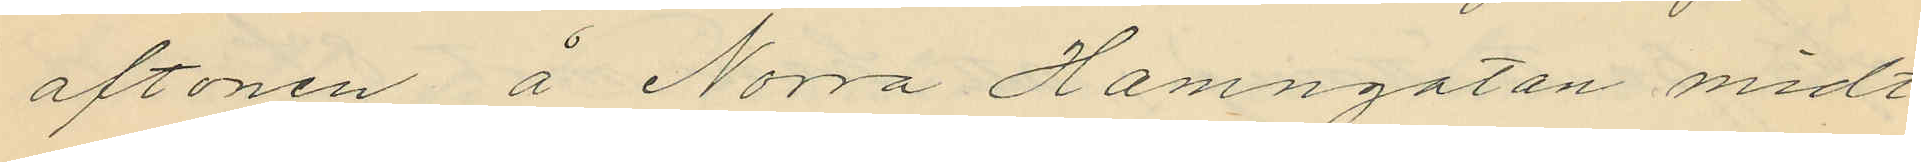aftonen å Norra Hamngatan midt¬
